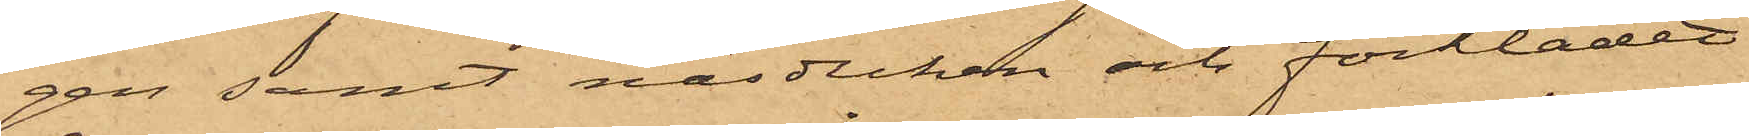gen samt näsduken och förklädet
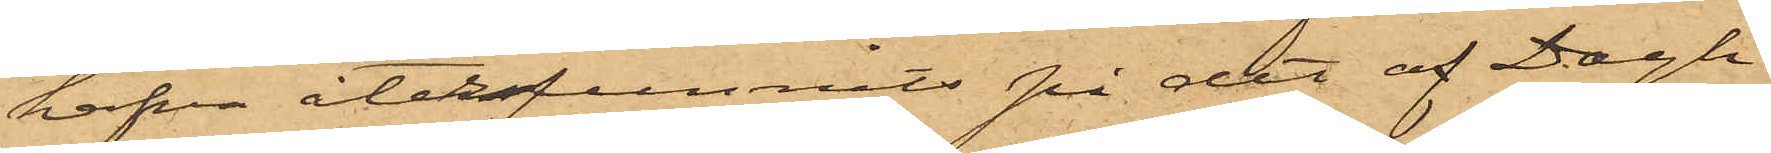hafva återfunnits på det af Dagh
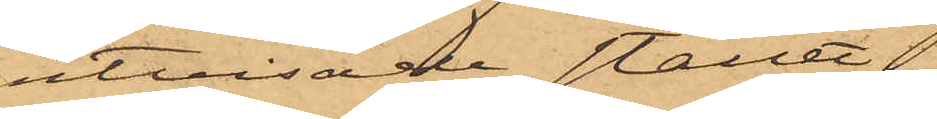utvisade stället.
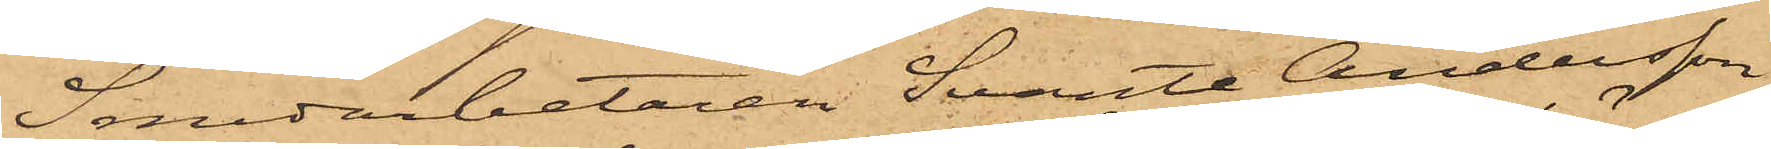Smedarbetaren Svante Andersson
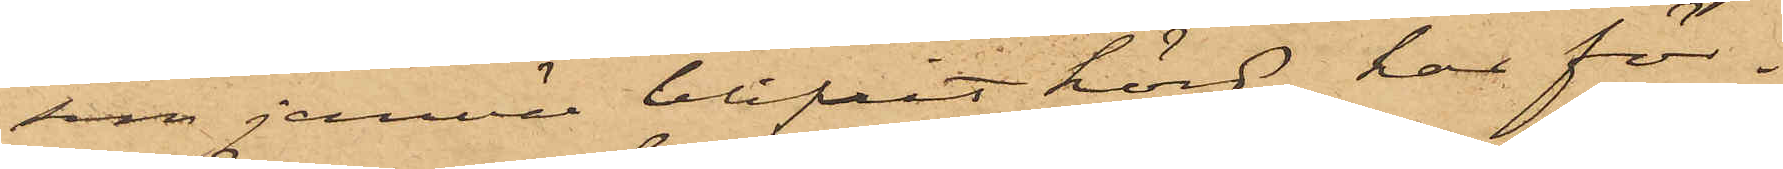som jemväl blifvit hörd, har för¬
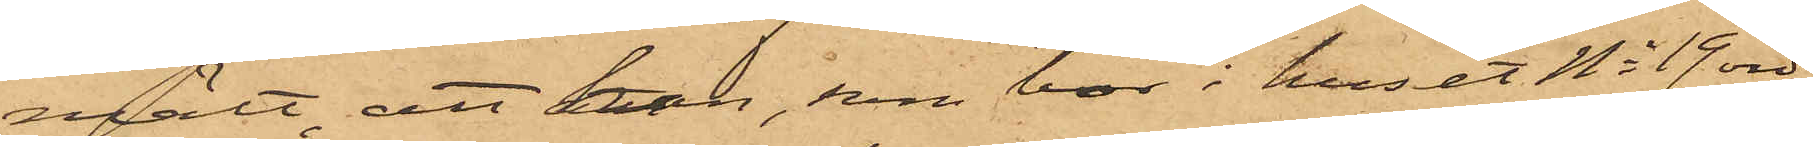mält, att han, som bor i huset No 19 vid
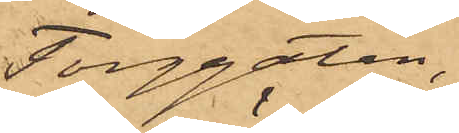Torggatan.
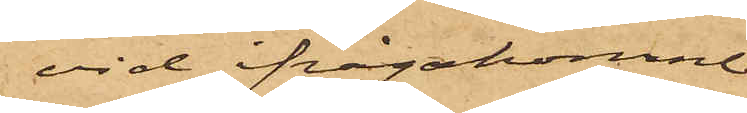vid ifrågakomne
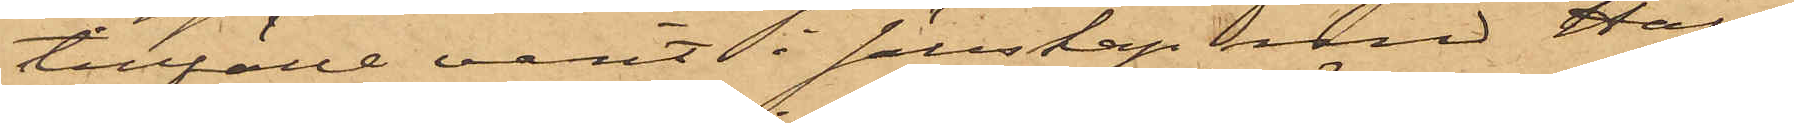tillfälle varit i sällskap med Hall¬
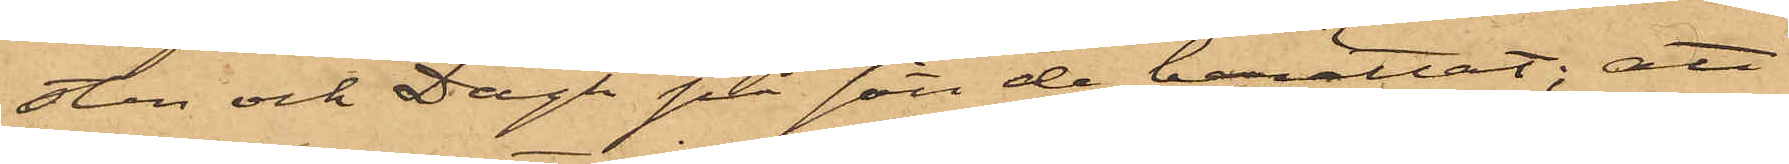sten och Dagh på sätt de berättat; att
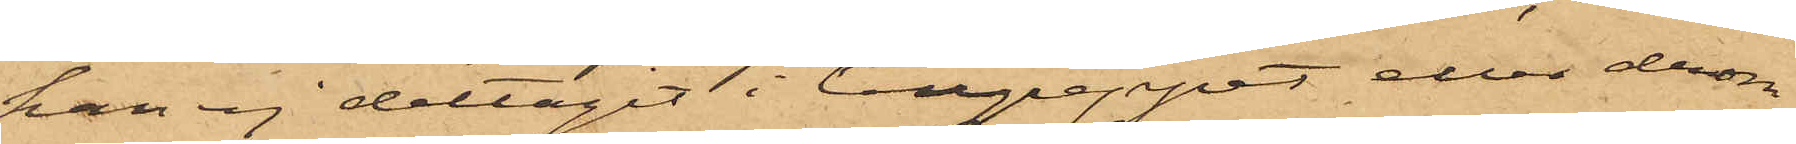han ej deltagit i tillgreppet eller derom
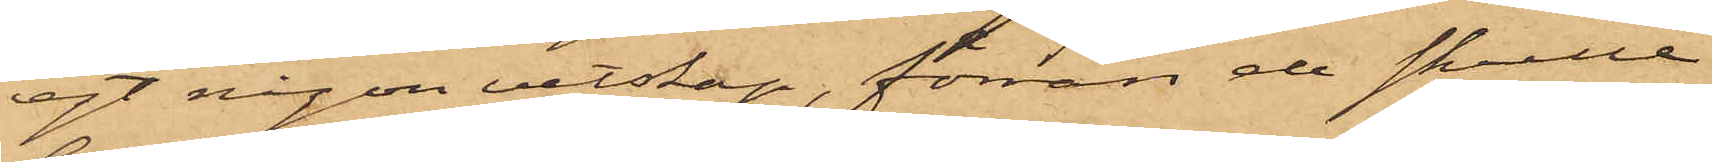egt någon vetskap, förrän de skulle
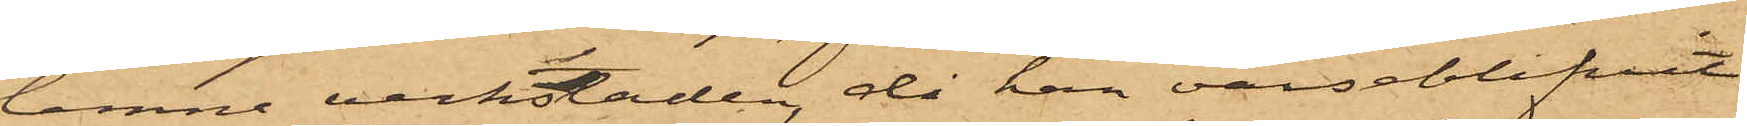lemna verkstaden, då han varseblifvit
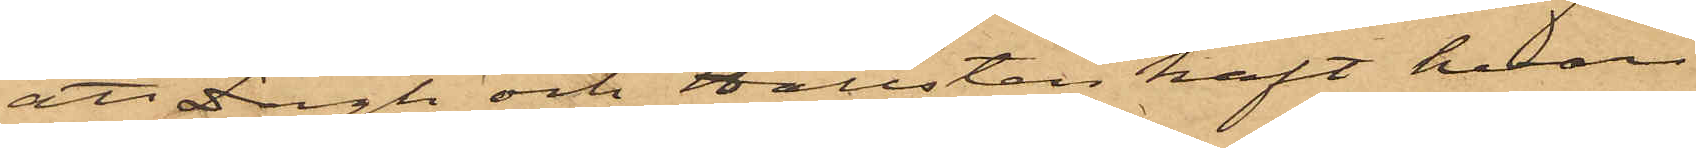att Dagh och Hallsten haft hvar
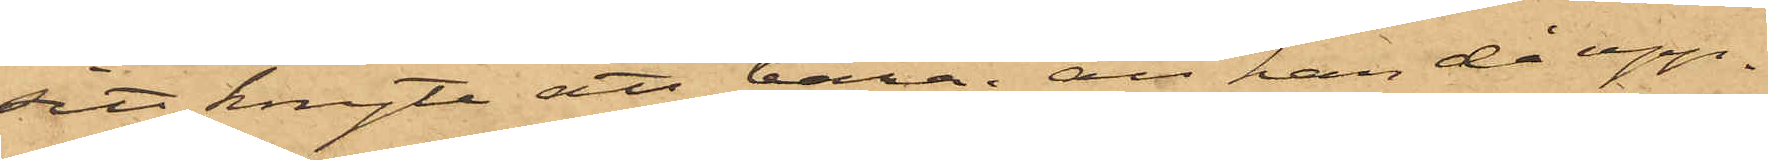sitt knyte att bära; att han då upp¬
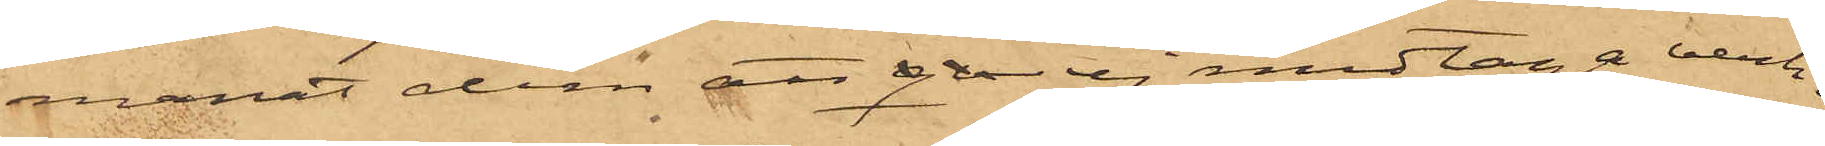manat dem att ej medtaga verk¬
